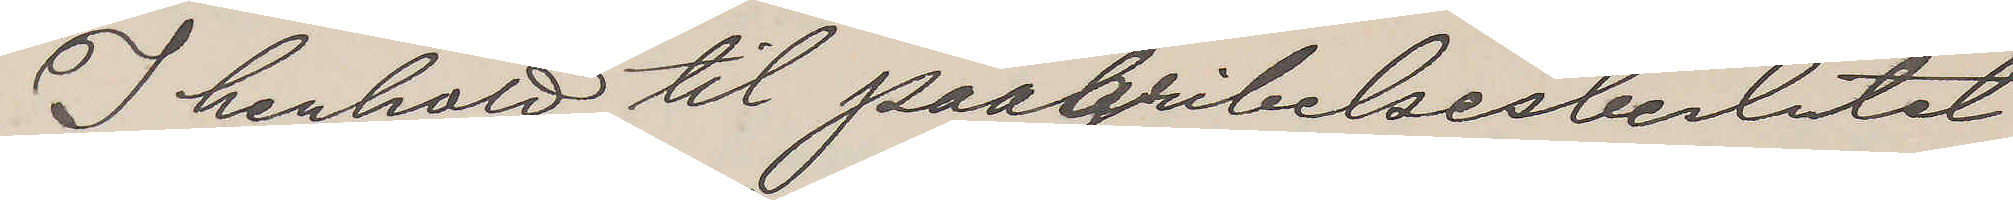I henhold til paagribelsesbeslutet
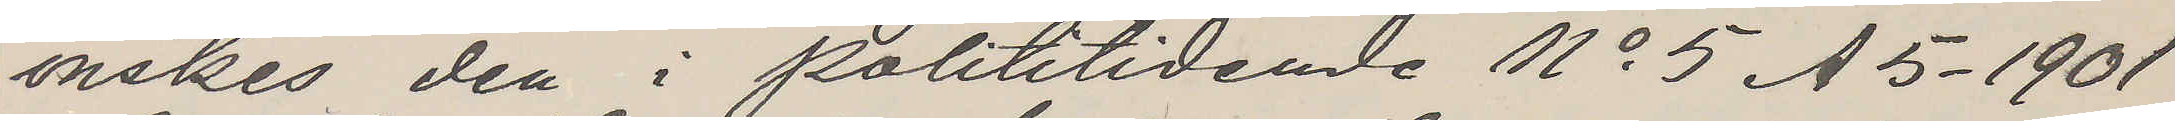önskes den i polititidende No 5 A5 - 1901
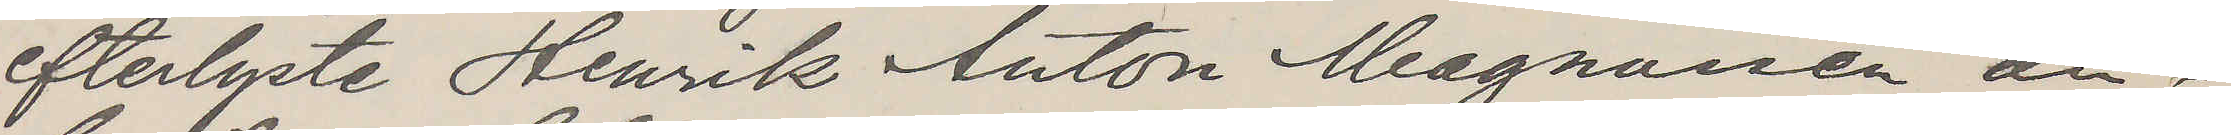efterlyste Henrik Anton Magnussen an¬
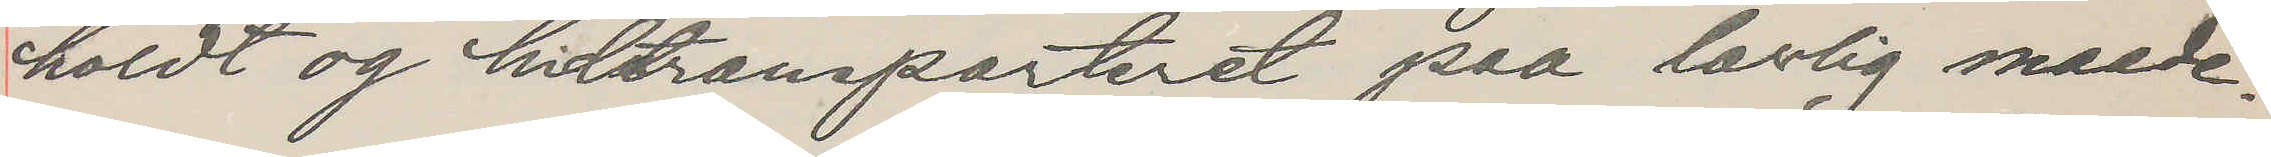holdt og hidtransporteret paa lovlig maade.
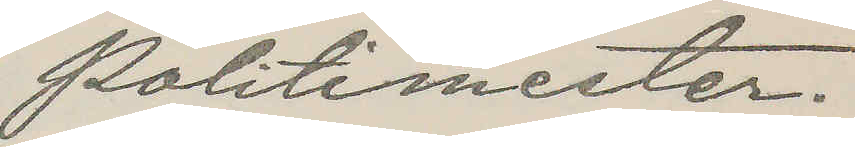Politimester.
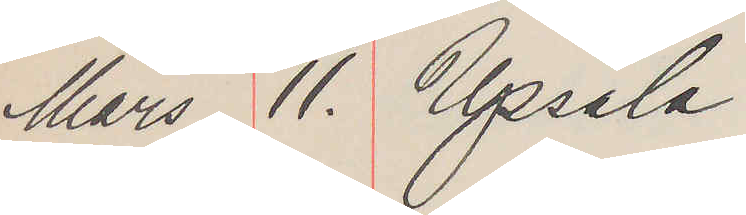Mars 11. Upsala
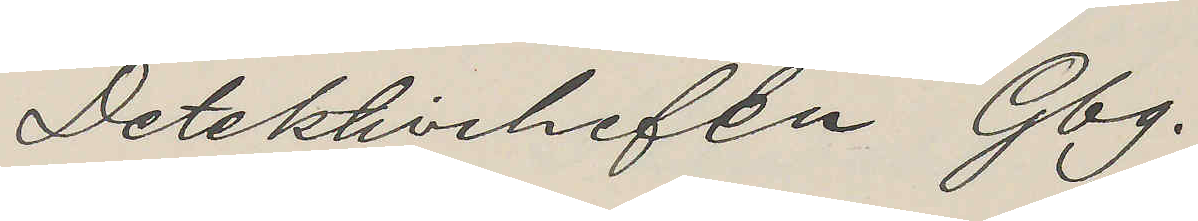Detektivchefen Gbg.
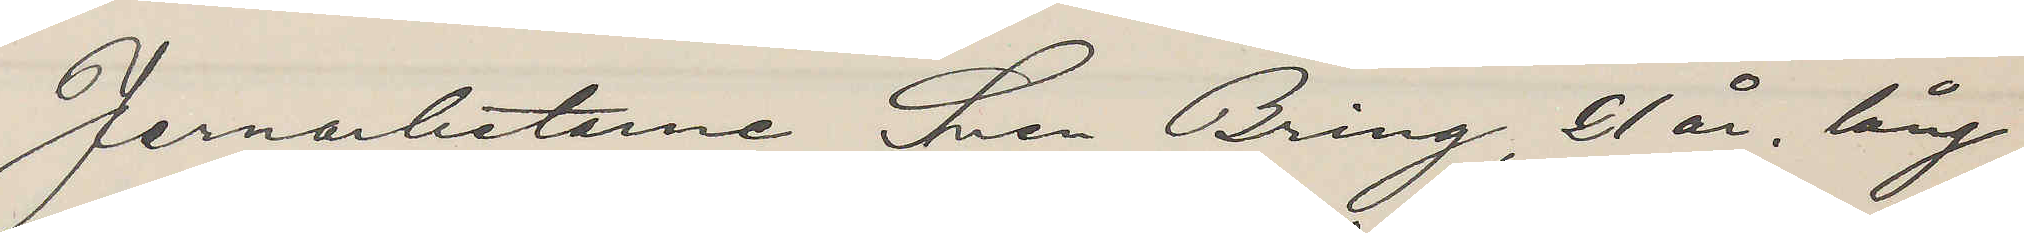Jernarbetarne Sven Bring, 21 år, lång
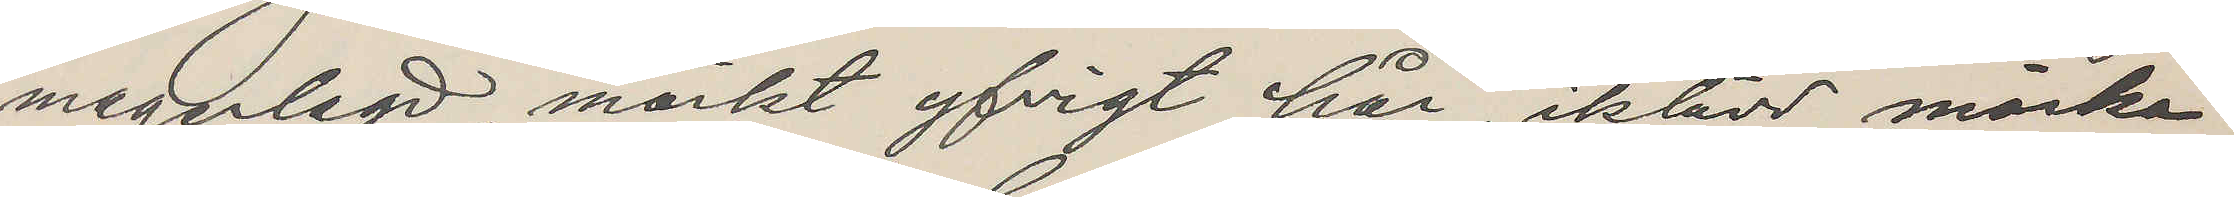magerlagd, mörkt yfvigt hår, iklädd mörka
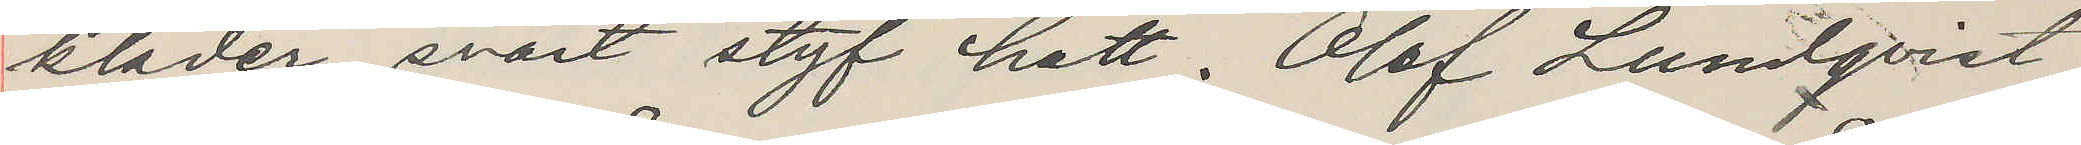kläder, svart styf hatt. Olof Lundqvist
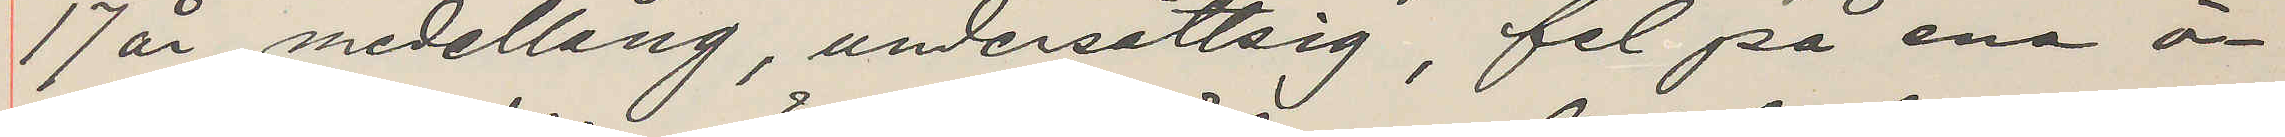17 år, medellång, undersättsig, fel på ena ö¬
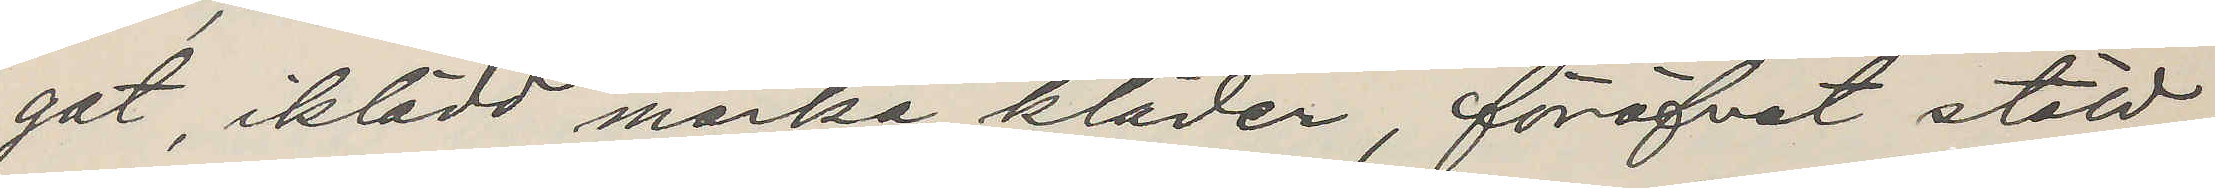gat, iklädd mörka kläder, föröfvat stöld
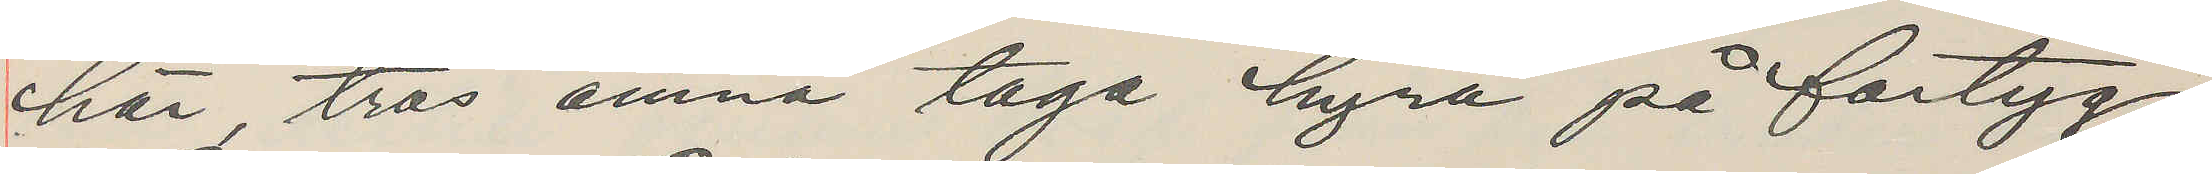här, tros ämna taga hyra på fartyg.
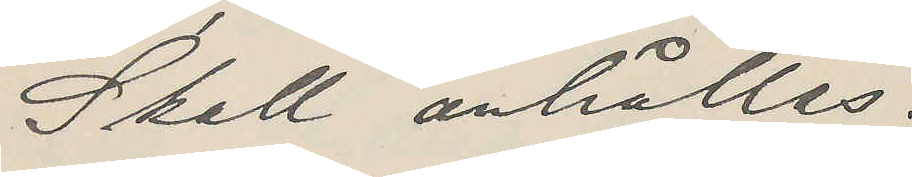Skall anhållas.
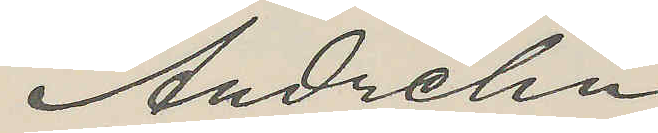Andrehn
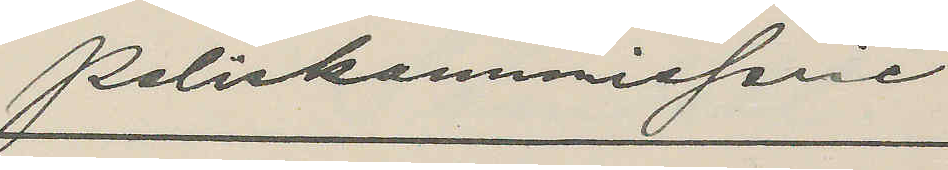Poliskommissarie
